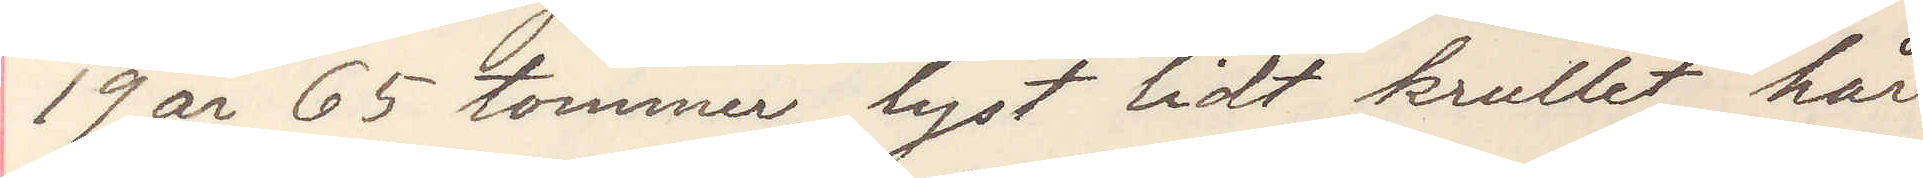19 år 65 tommer, lyst lidt krullet hår
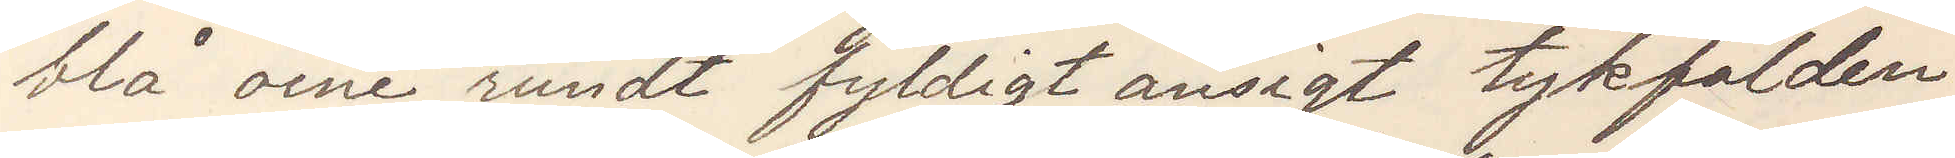blå oine rundt fyldigt ansigt tykfalden
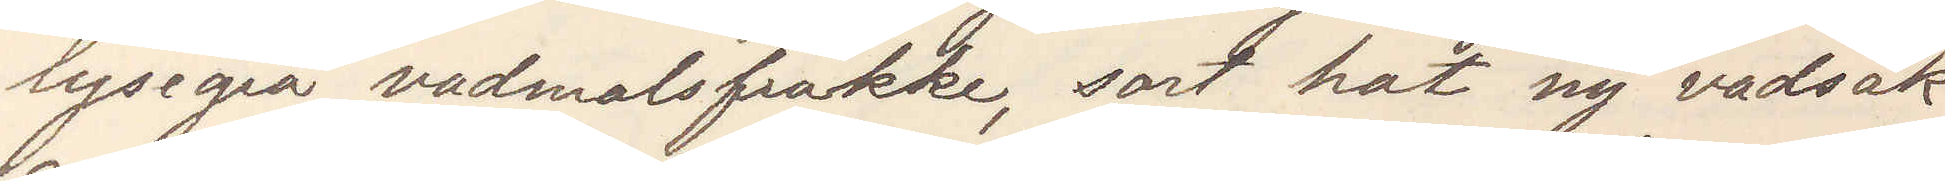lysegrå vadmalsfrakke, sort hat ny vadsäk
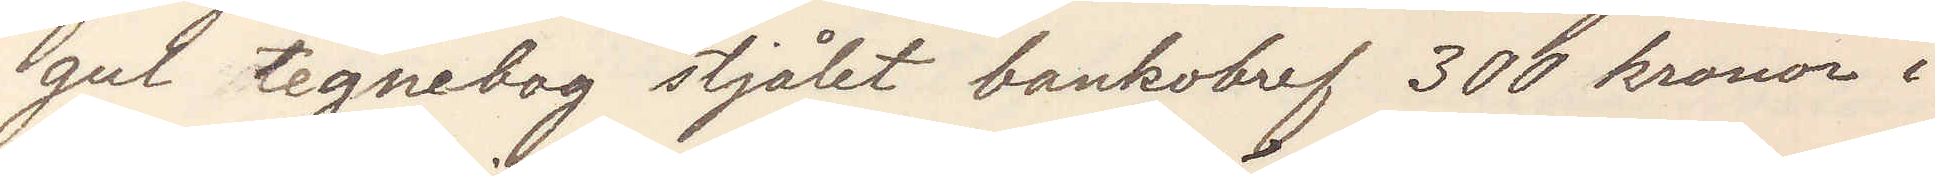gul tegnebog stjålet bankobref 300 kronor i
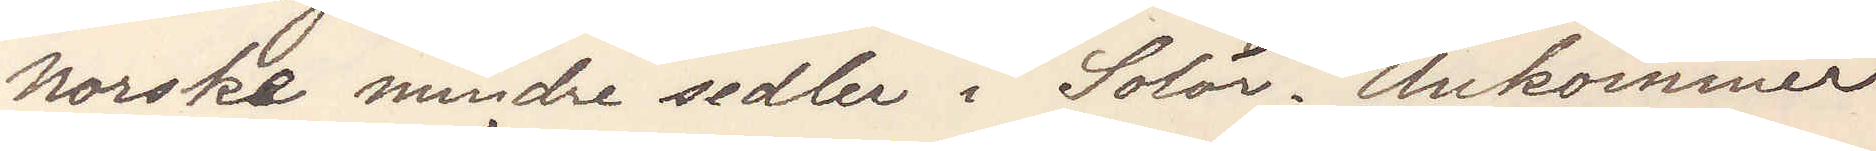norske mindre sedler i Solör. Ankommer
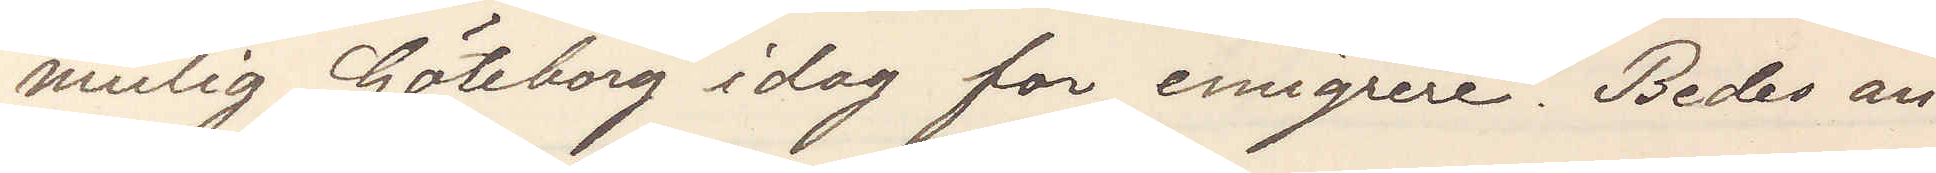mulig Göteborg idag for emigrere. Bedes an¬
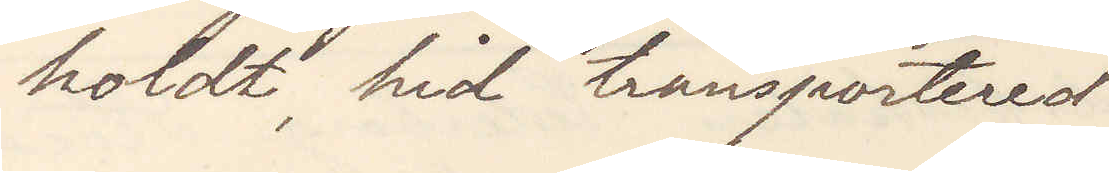holdt hid transportered
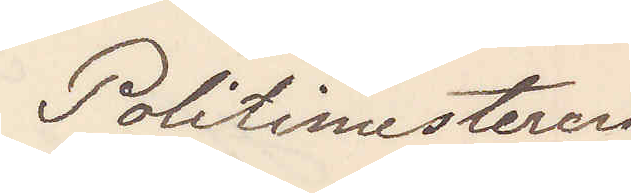Politimesteren
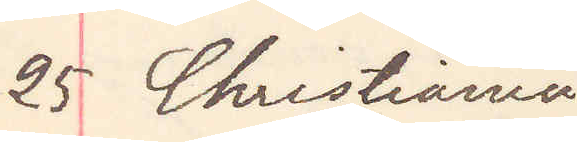25 Christiania
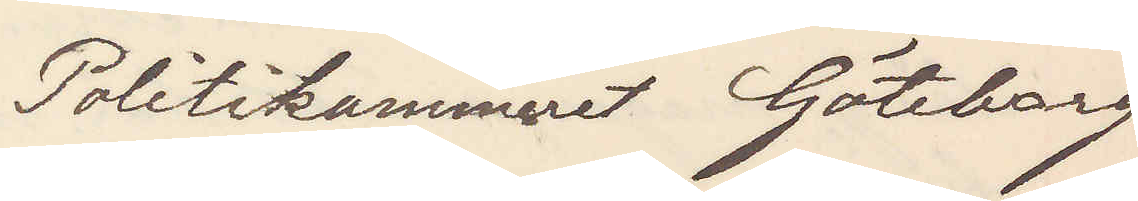Politikammeret Göteborg
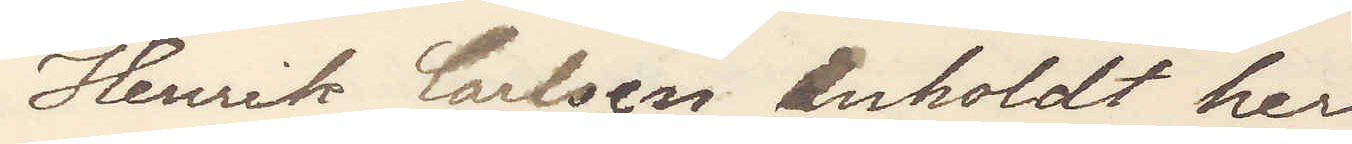Henrik Carlsen anholdt her
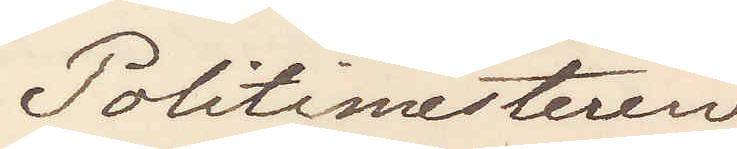Politimesteren
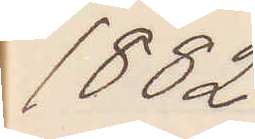1882
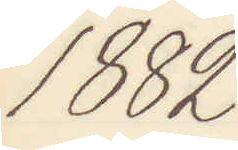1882
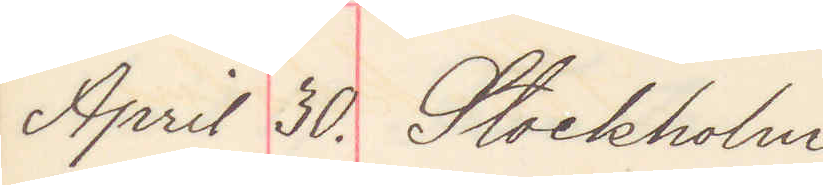April 30. Stockholm
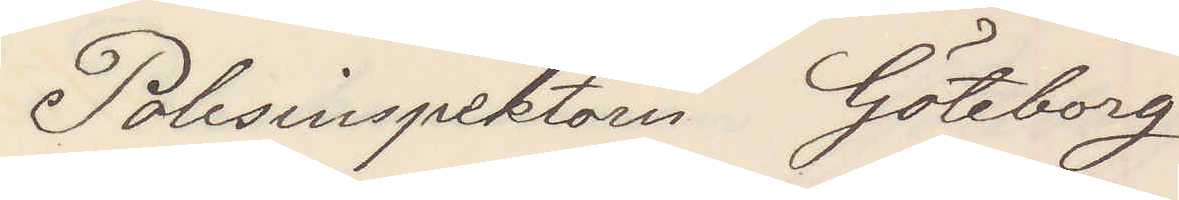Polisinspektorn Göteborg
